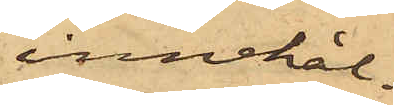innehål¬
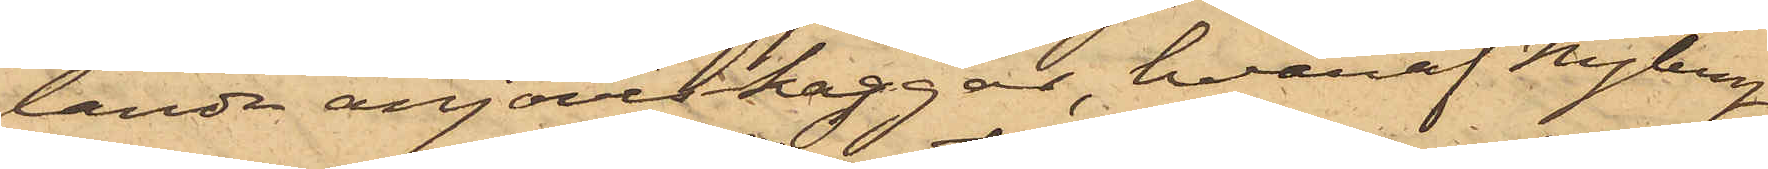lande anjoviskaggar, hvaraf Nyberg
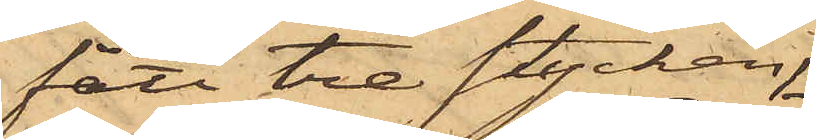fått tre stycken,
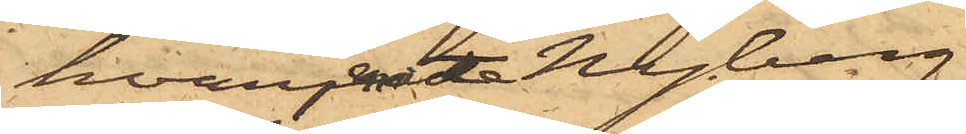hvarjemte Nyberg
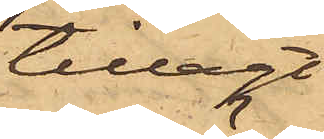tillagt
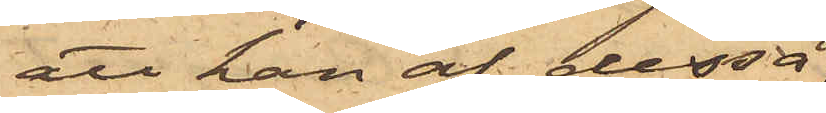att han af dessa
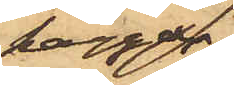kaggar
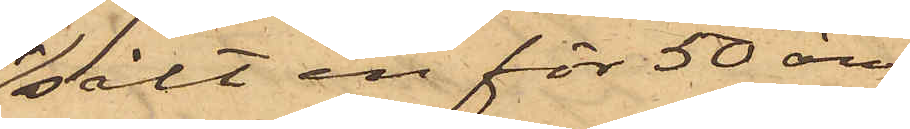sålt en för 50 öre,
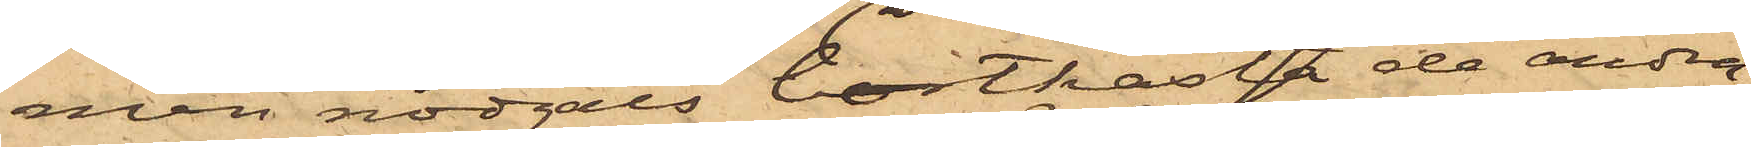men nödgats bortkasta de andra,
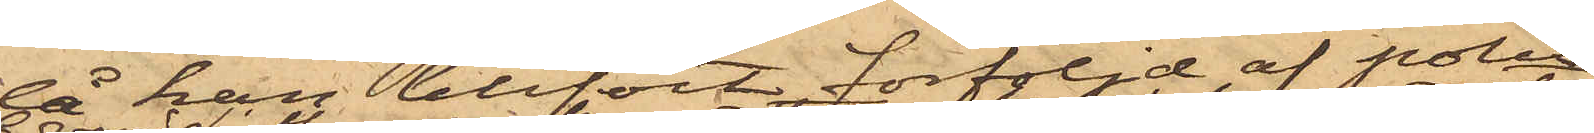då han blifvit förföljd af polis.
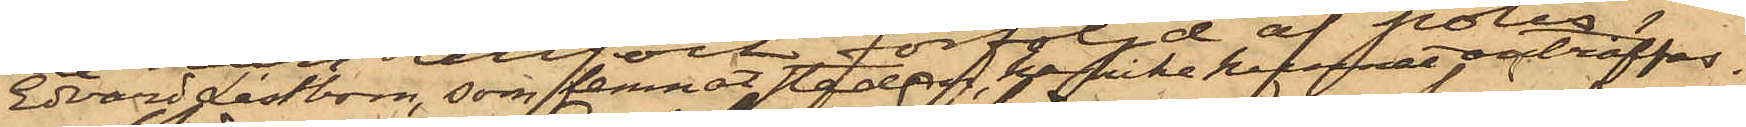Edvard Låstbom, som lemnat staden, har icke kunnat påträffas.
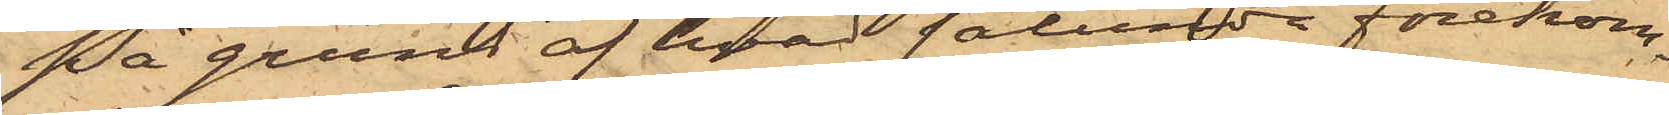På grund af hvad sålunda förekom¬
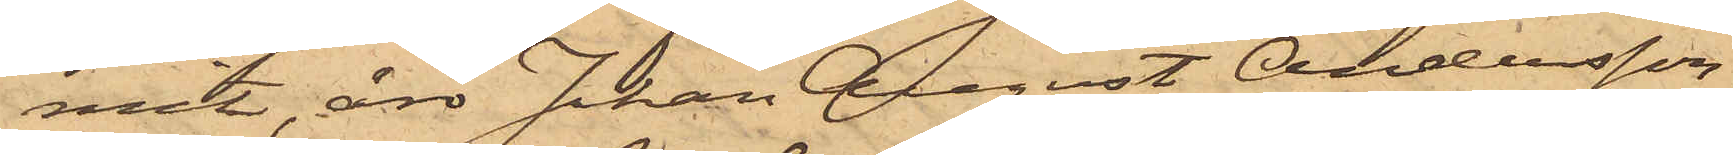mit, äro Johan August Andersson
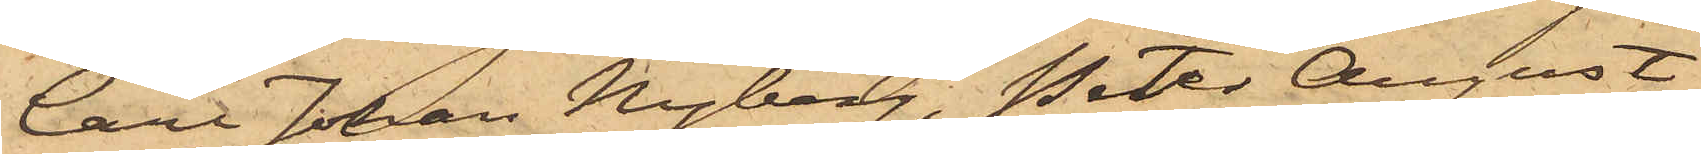Carl Johan Nyberg, Peter August
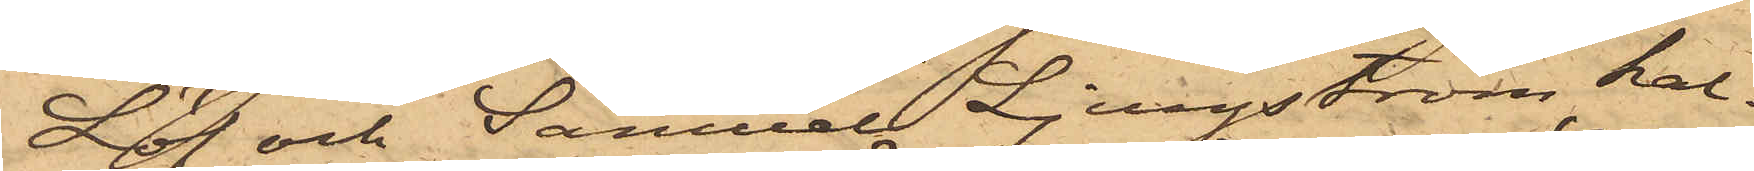Löf och Samuel Ljungström kal¬
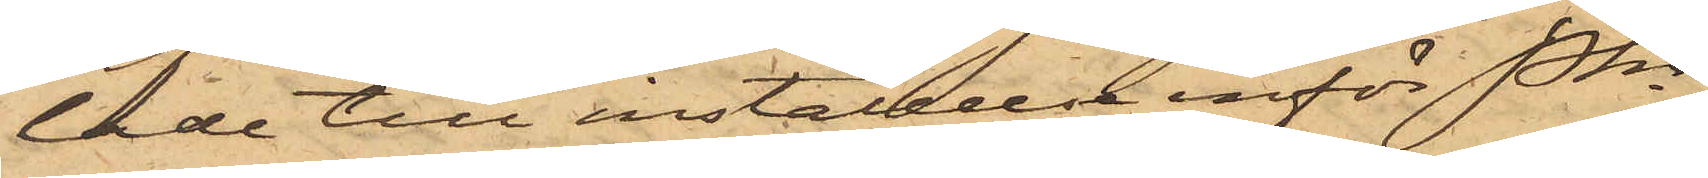lade till inställelse inför Pkn
